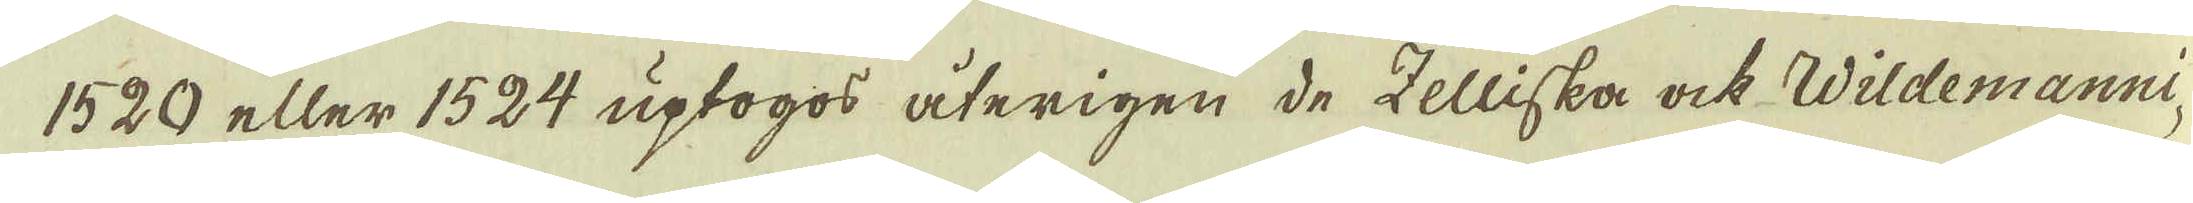1520 eller 1524 uptogos återigen de Zelliska ock Wildemanni-
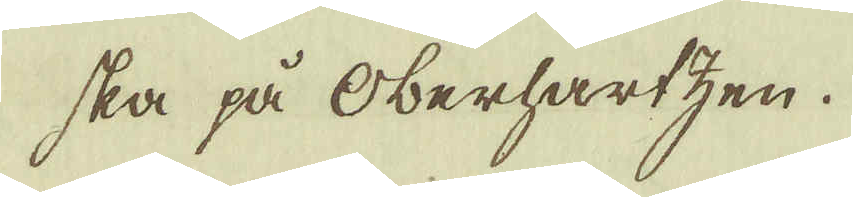ska på Oberhartzen.
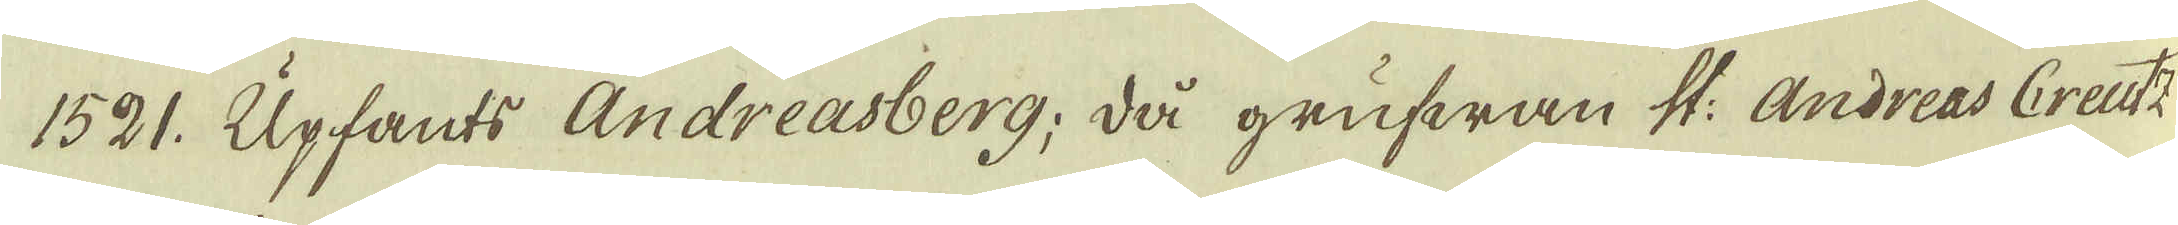1521. Upfants Andreasberg; då grufwan St: Andreas Creutz
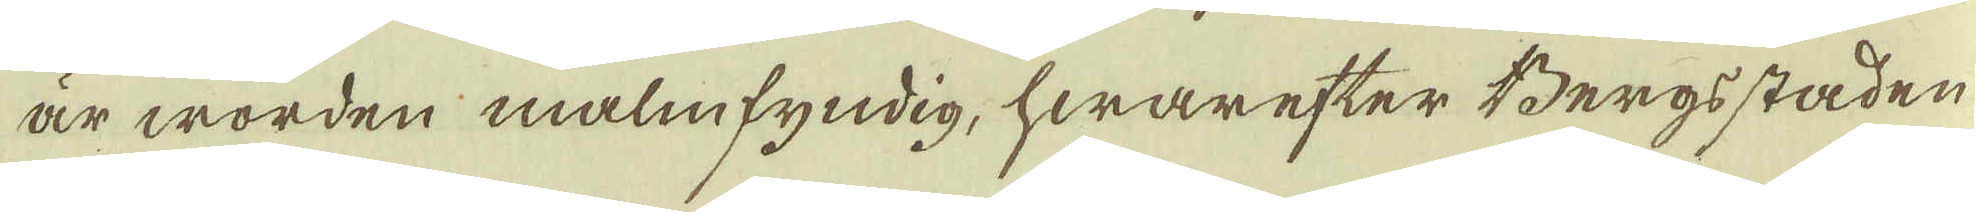är worden malmfyndig, hwarefter Bergsstaden
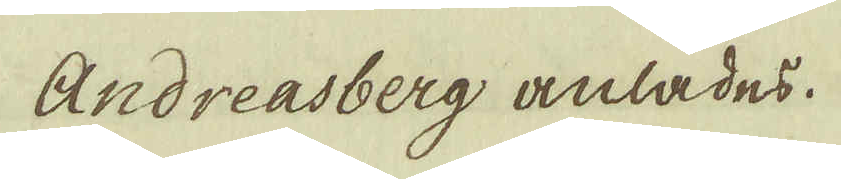Andreasberg anlades.
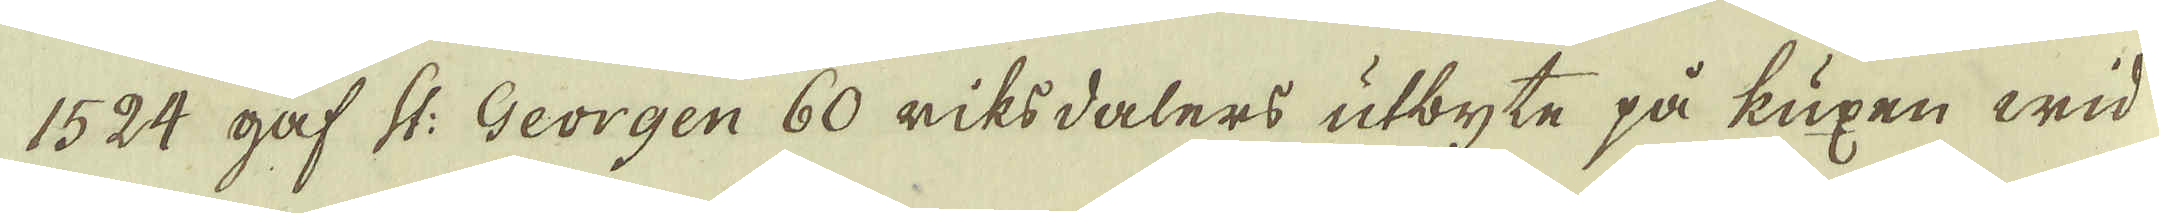1524 gaf St: Georgen 60 riksdalers utbyte på kuxen wid
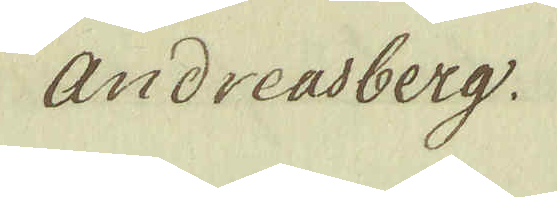Andreasberg
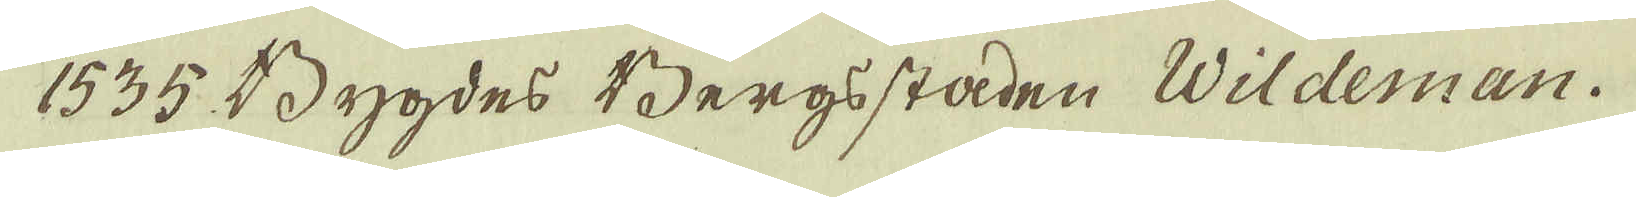1535 Bygdes Bergsstaden Wildeman.
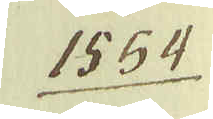1554.
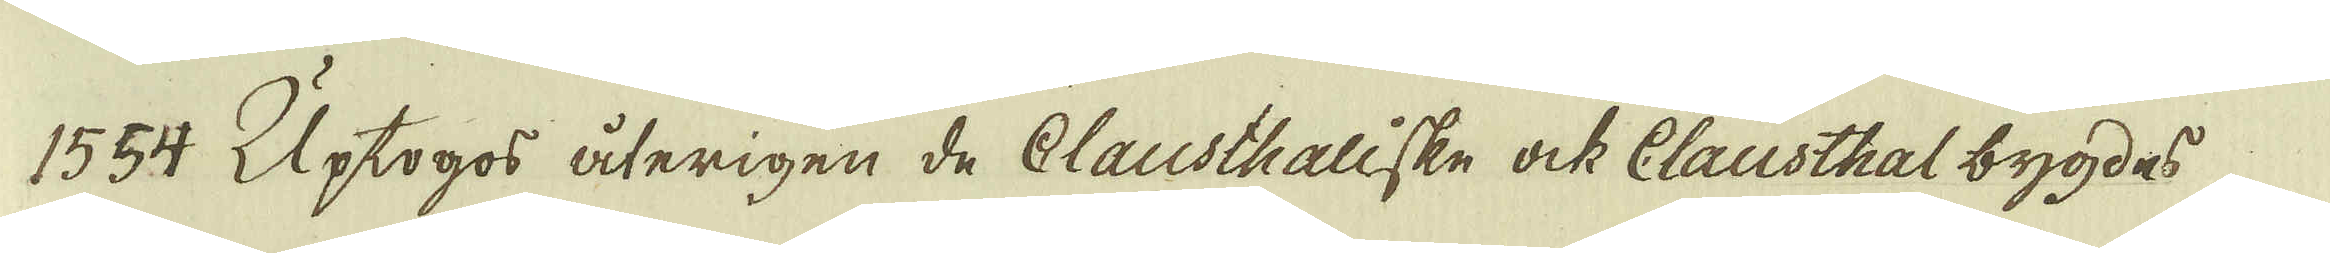1554 Uptogos återigen de Clausthaliske ock Clausthal bygdes
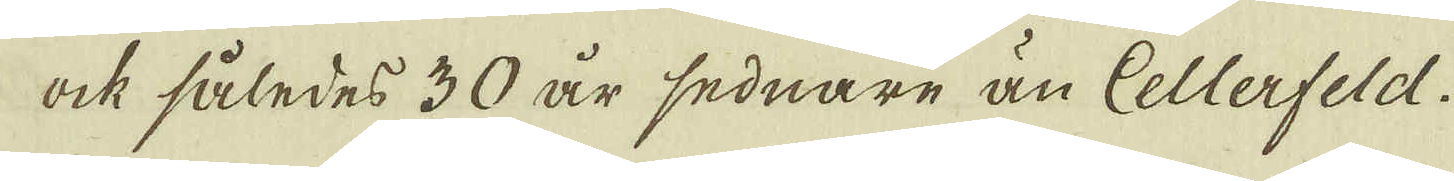ock således 30 år sednare än Cellerfeld.
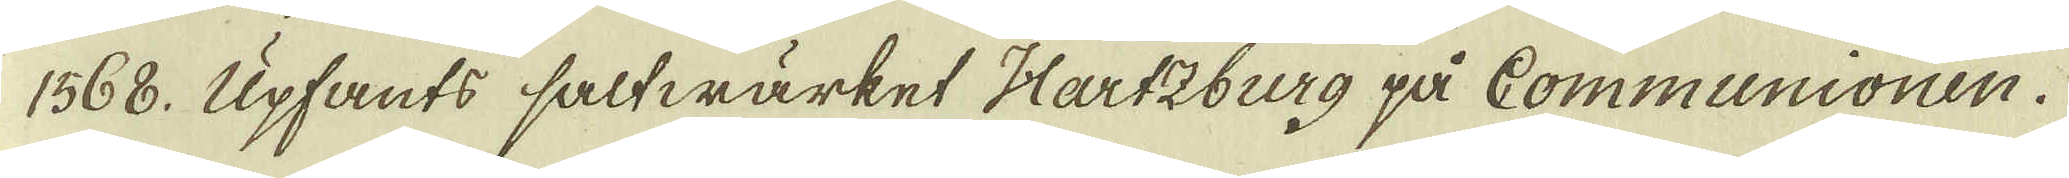1568. Upfants saltwärket Hartzburg på Communionen.
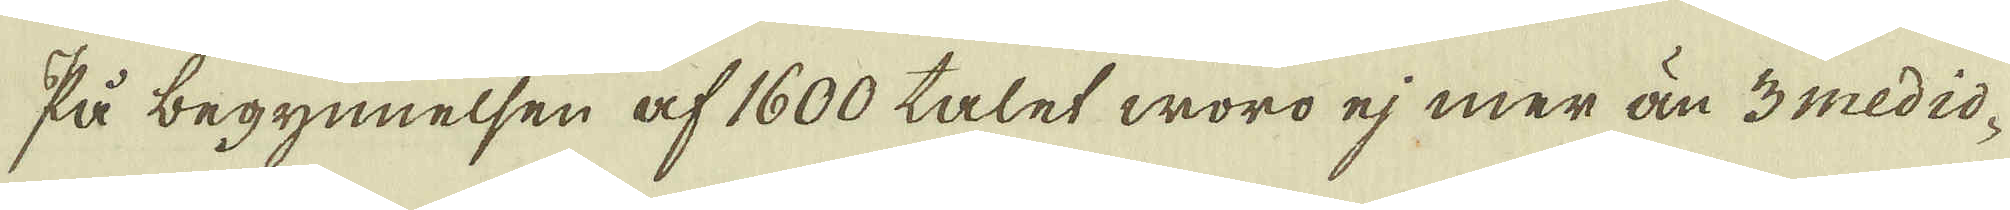På begynnelsen af 1600 talet woro ej mer än 3 medio-
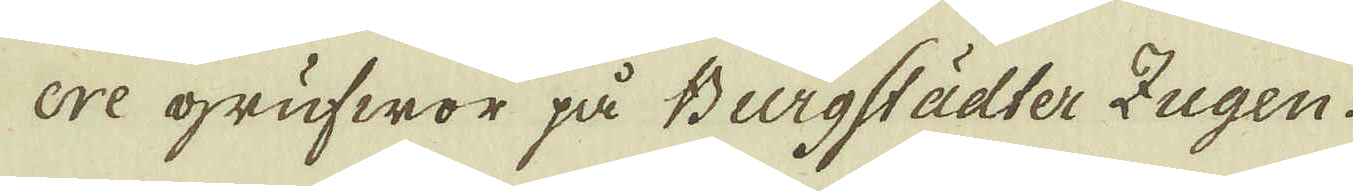cre grufwor på Burgstädter Zugen.
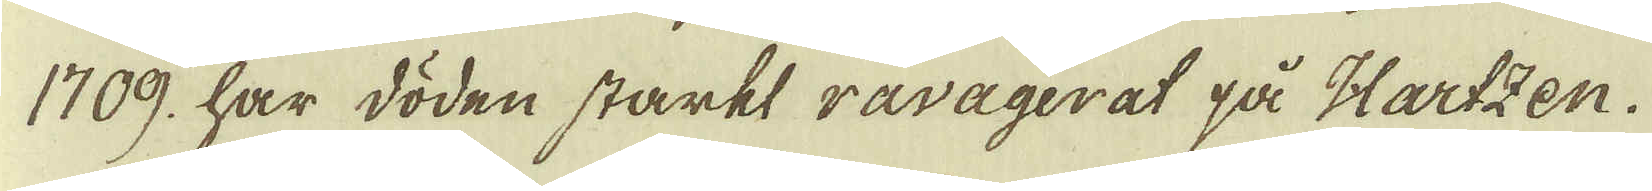1709 har döden starkt ravägerat på Hartzen.
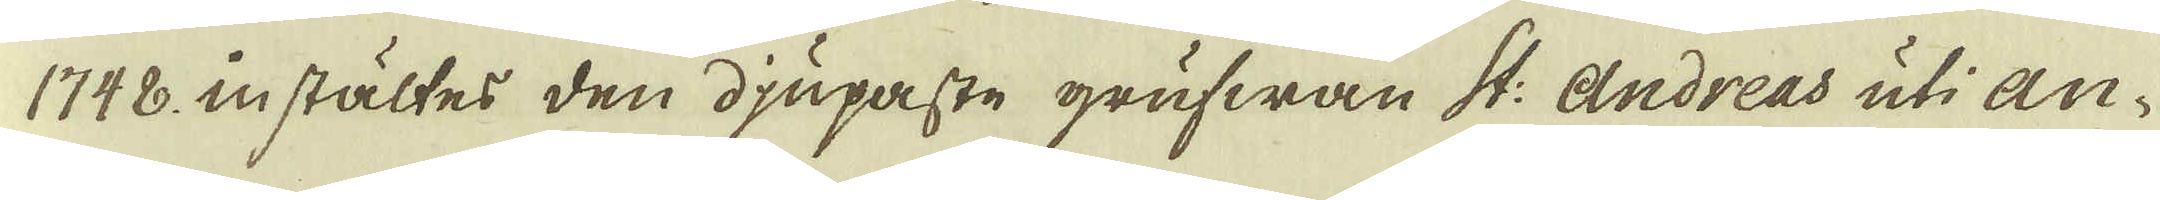1748. instältes den djupaste grufwan St: Andreas uti An-
